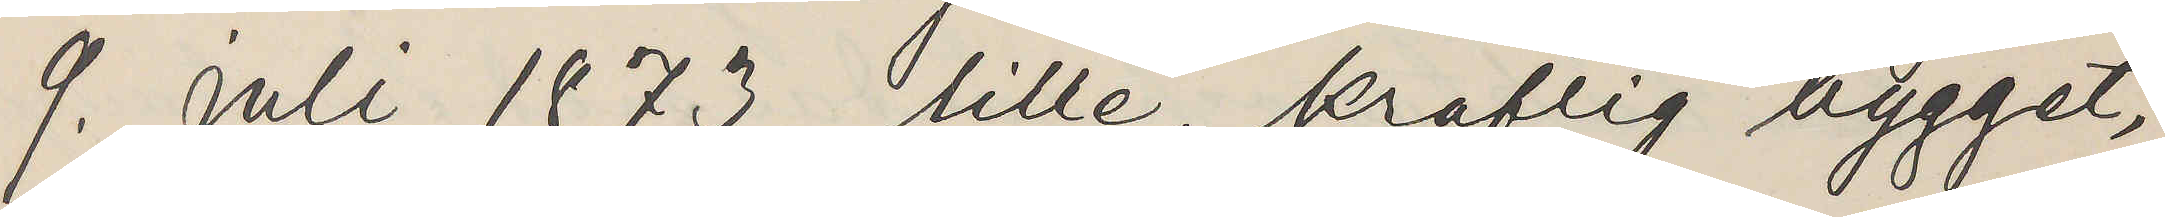9. Juli 1873, lille, kraftig bygget,
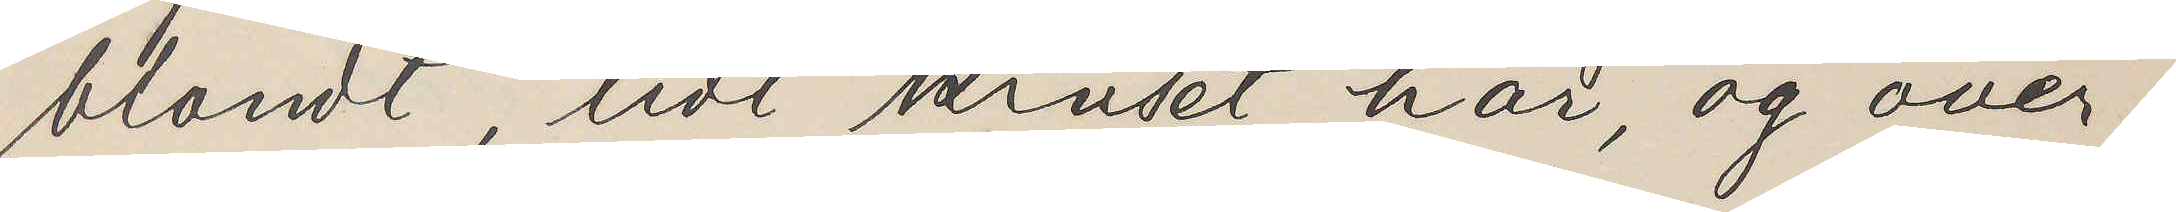blondt, lidt kruset hår, og over
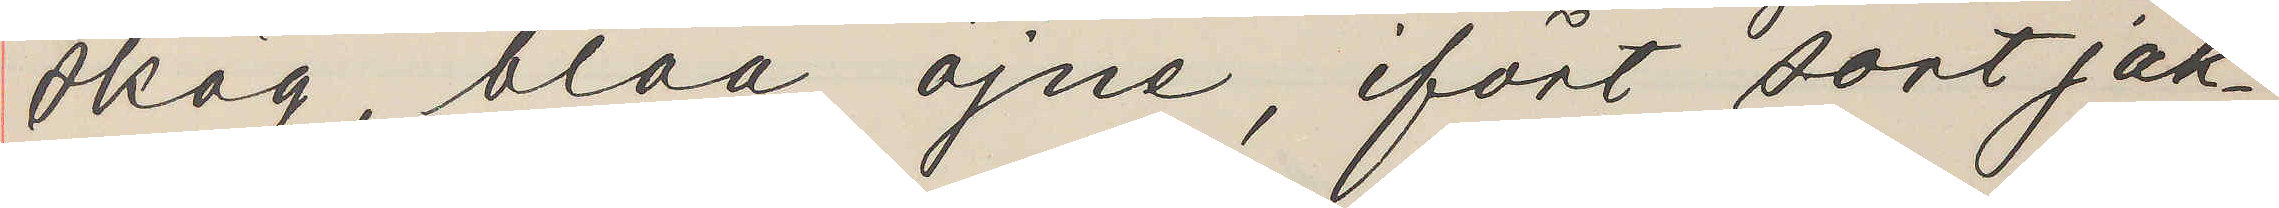skäg, blaa öjne, ifört sort jak¬
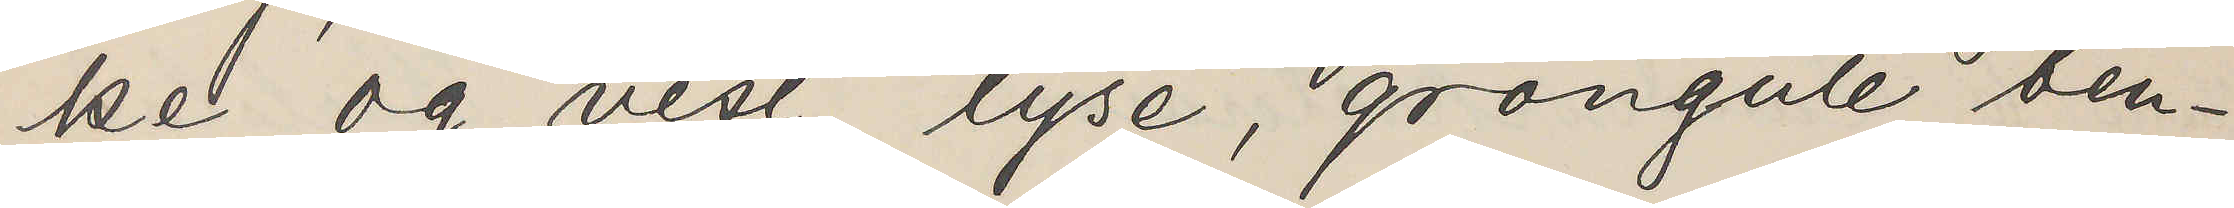ka og vest, lyse, gröngule ben¬
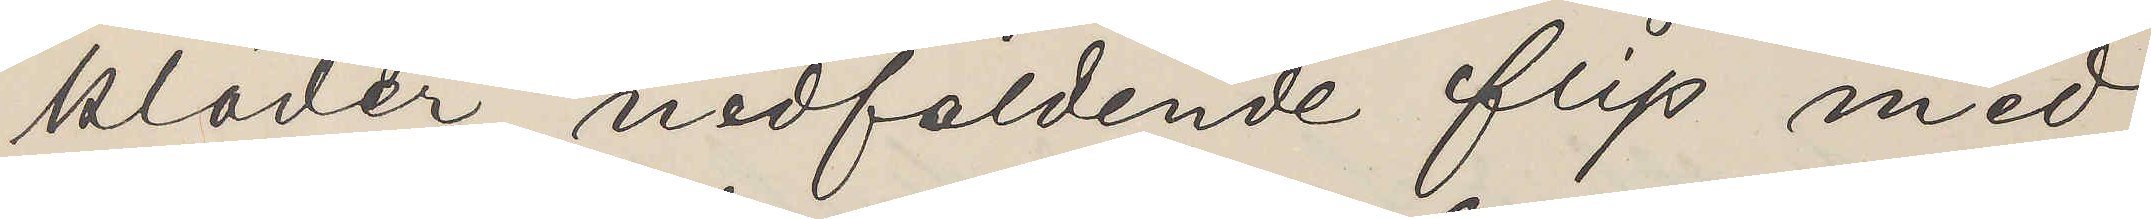kläder, nedfoldende flip med
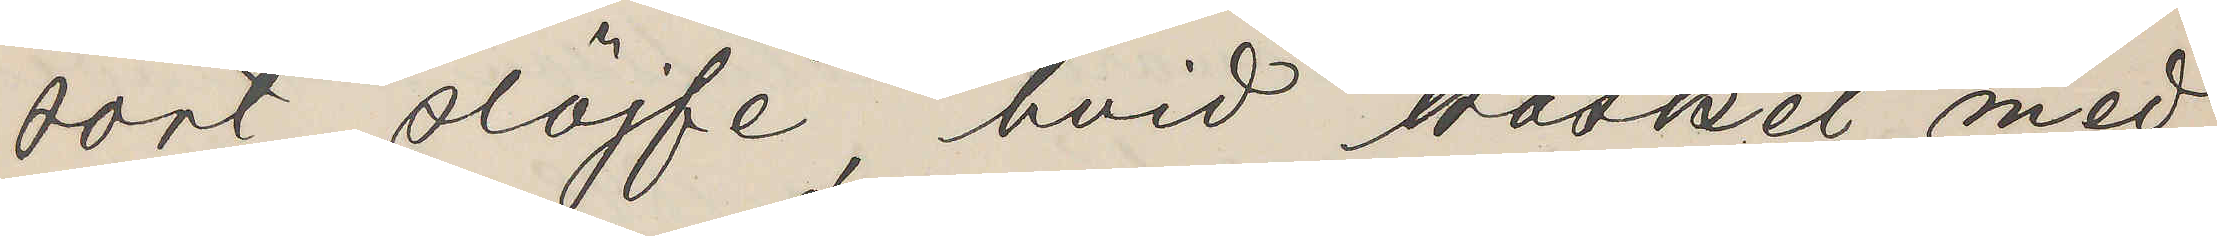sort slöjfe, hvid basket med
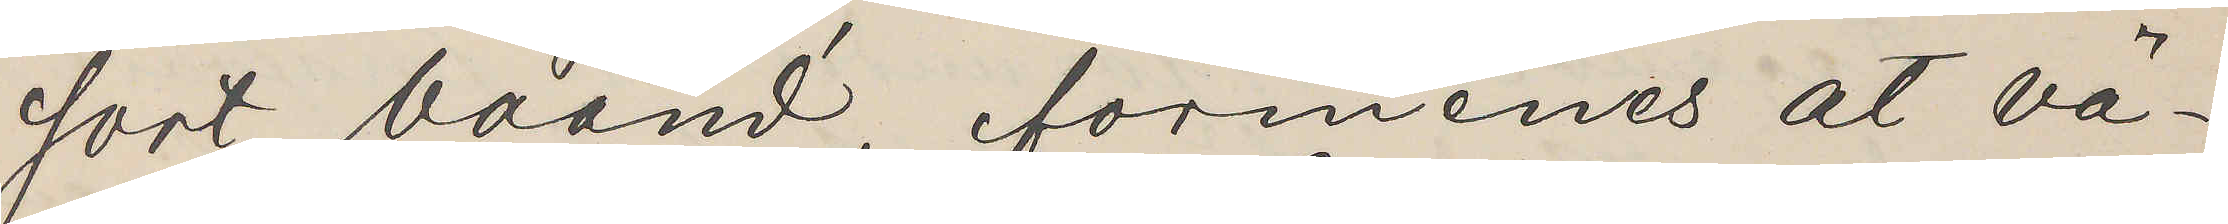sort baand, formenes at vä¬
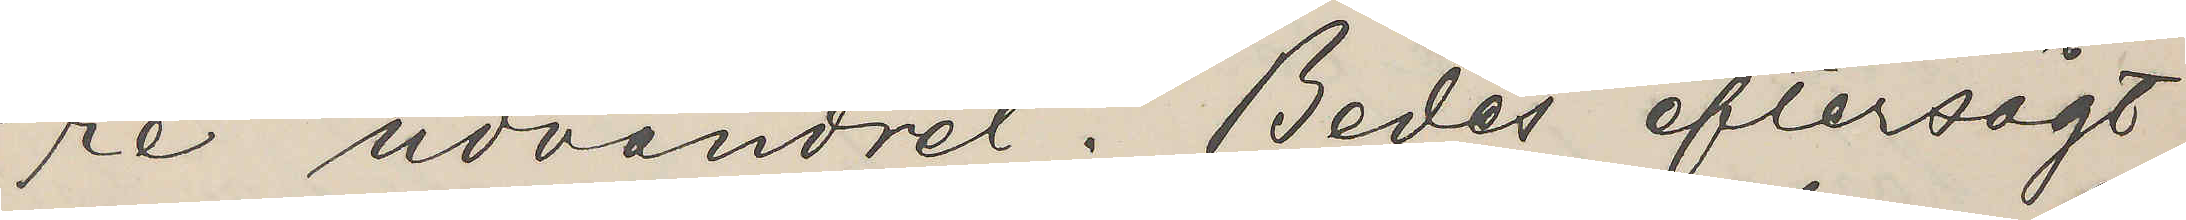re udvandret. Bedes eftersögt
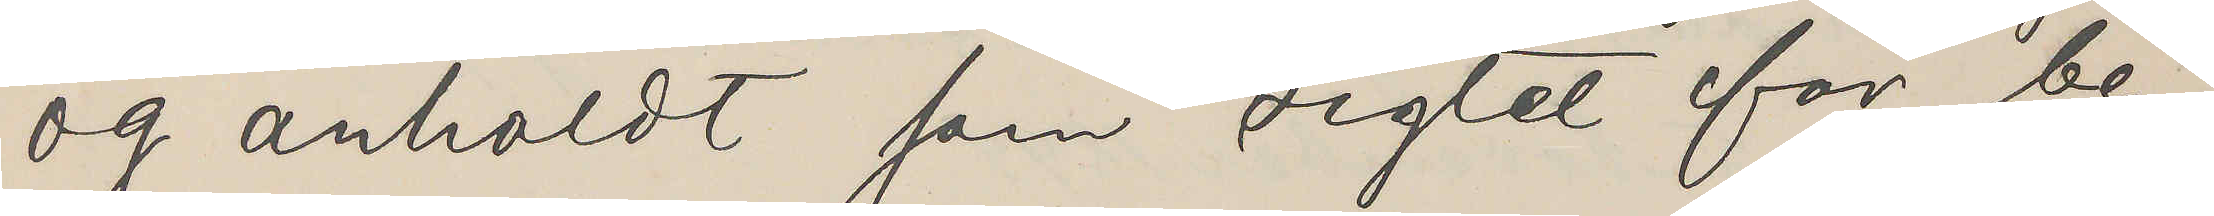og anhäldt som sigtet for be¬
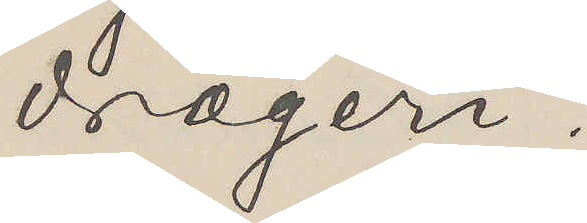drægeri.
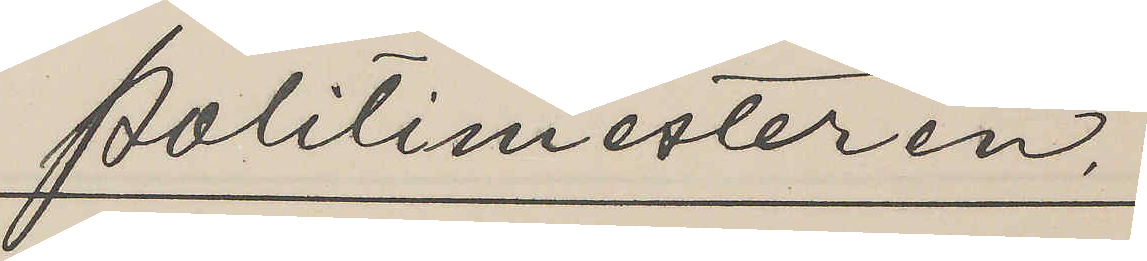politimesteren.
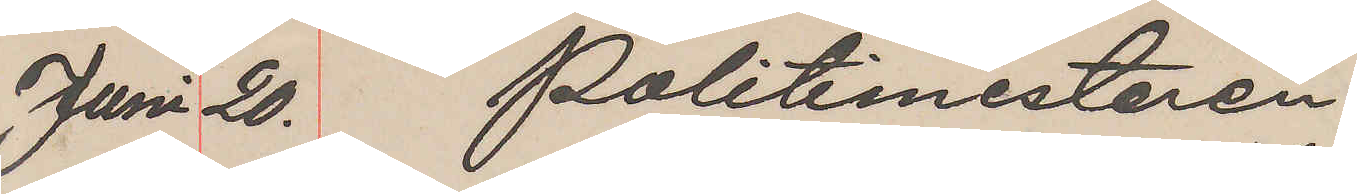Juni 20. Politimestaren
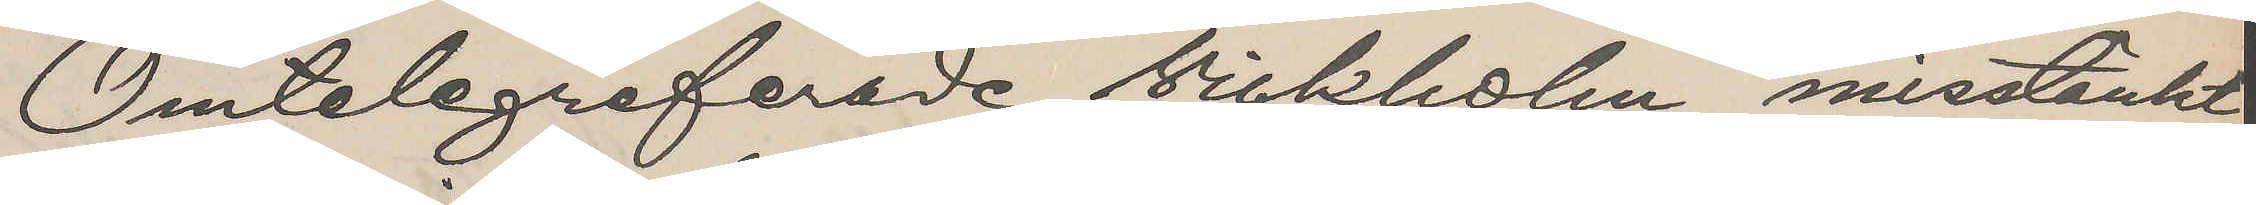Omtelegraferade Vickholm misstänkt
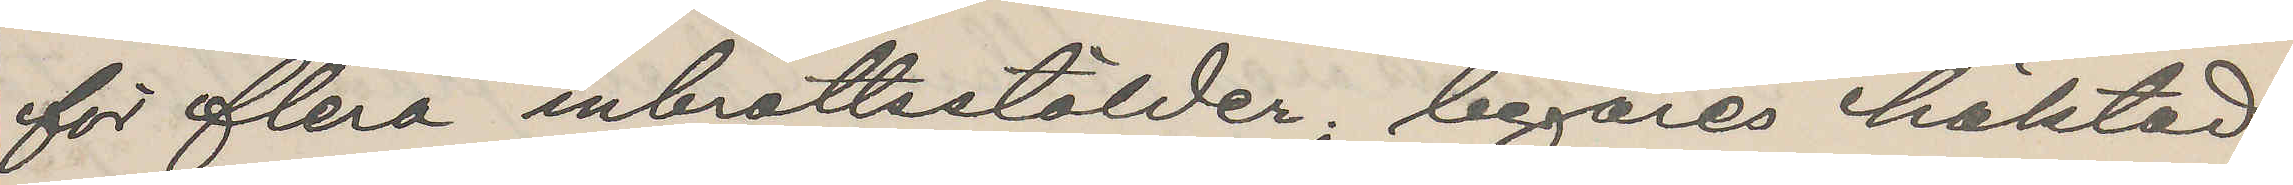för flera inbrottsstölder, begäras häktad
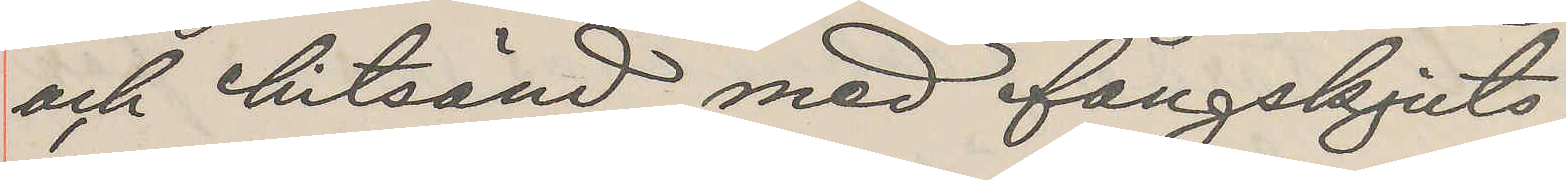och hitsänd med fångskjuts.
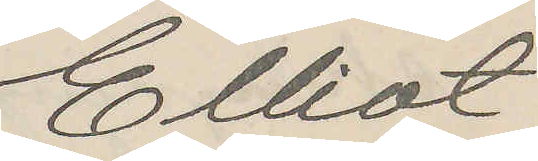Elliot
